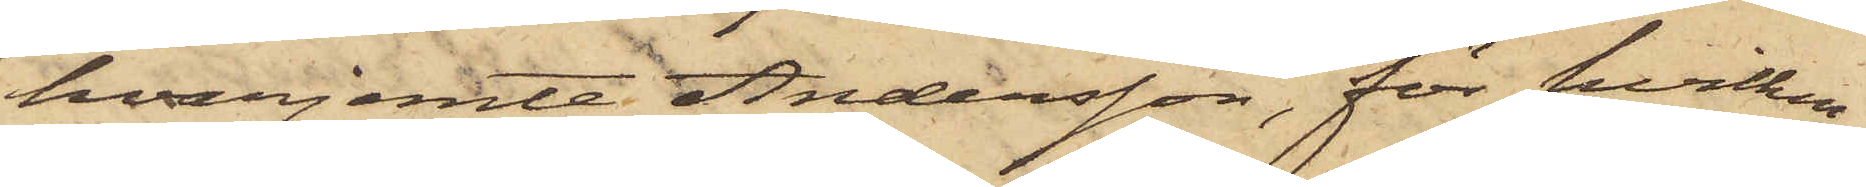hvarjemte Andersson, för hvilken
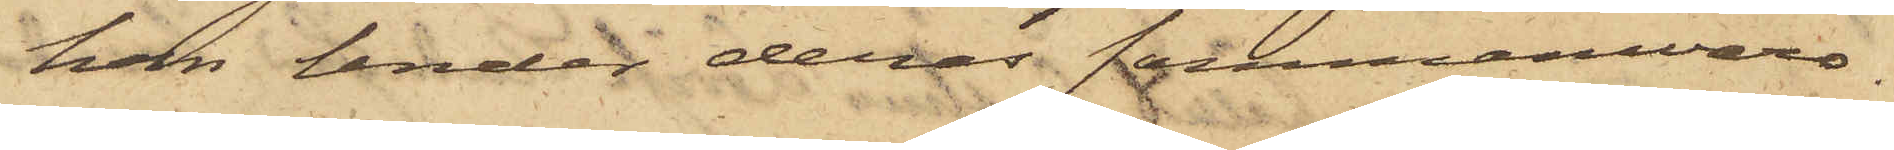han under deras sammanvaro
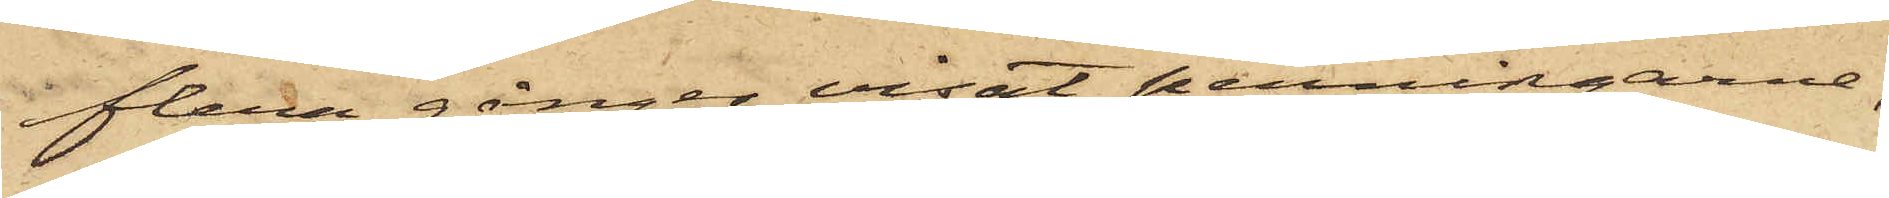flera gånger visat penningarne,
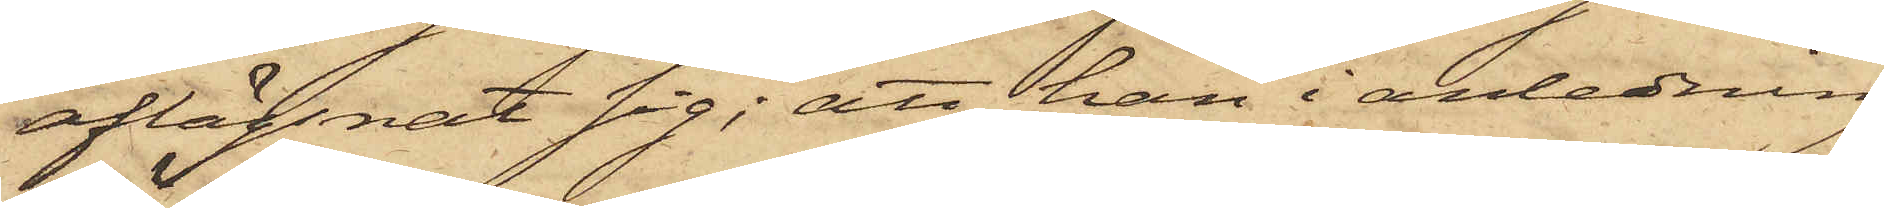aflägsnat sig; att han i anledning
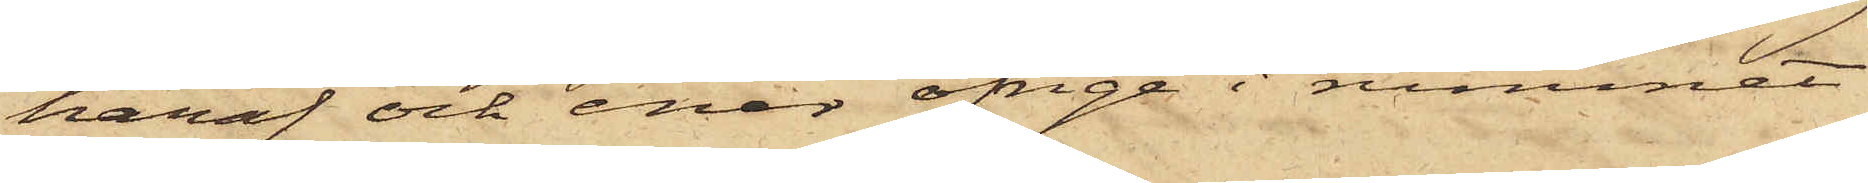häraf och enär öfrige i rummet
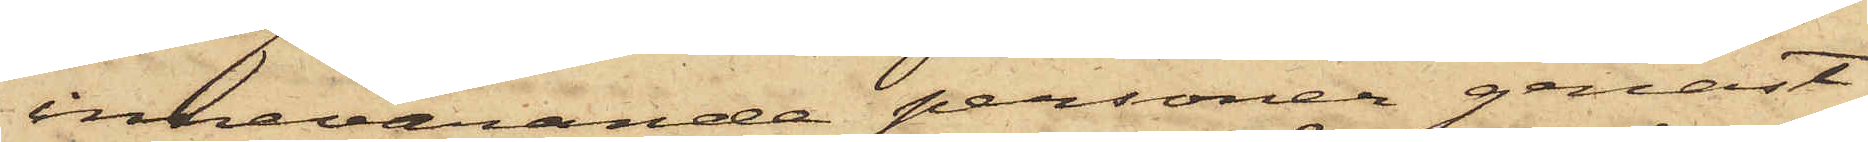innevarande personer genast
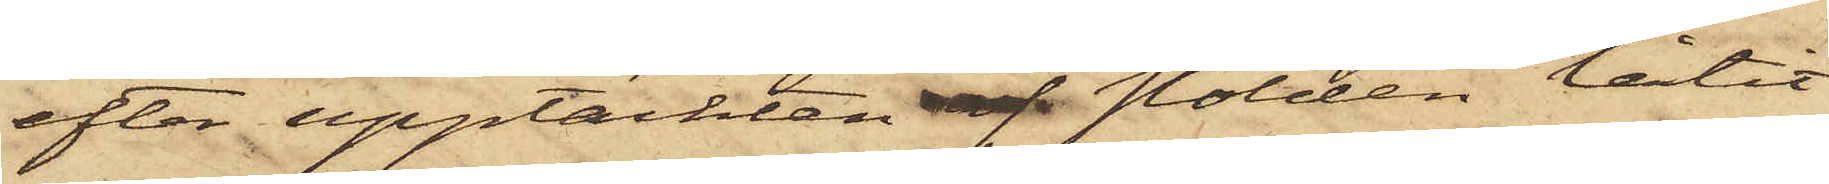efter upptäckten af stölden låtit
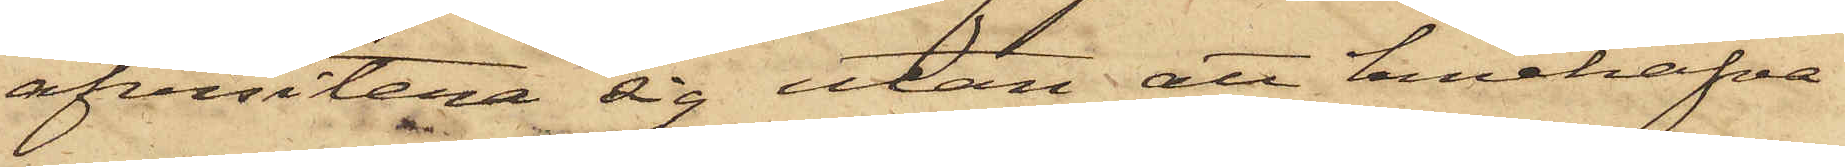afvisitera sig utan att innehafva
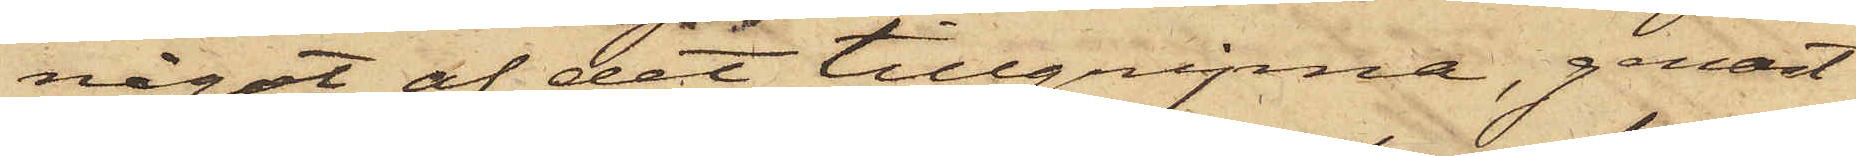något af det tillgripne, genast
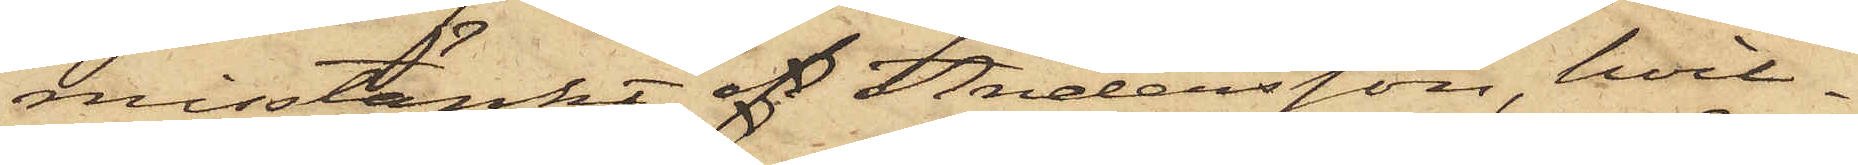misstänkt af Andersson, hvil¬
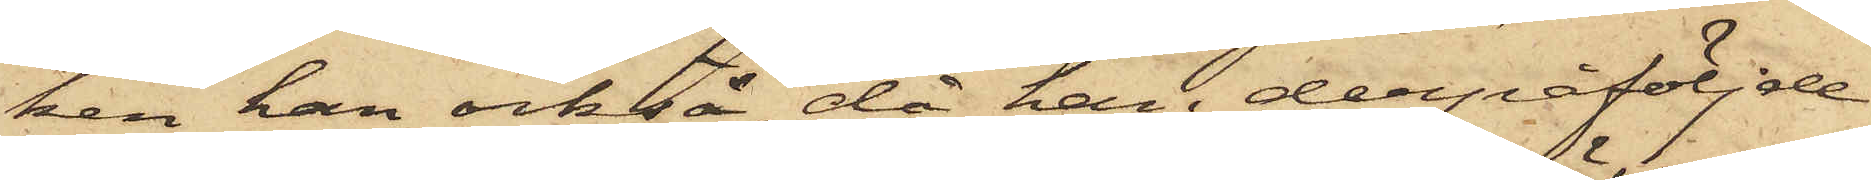ken han också, då han derpåföljde
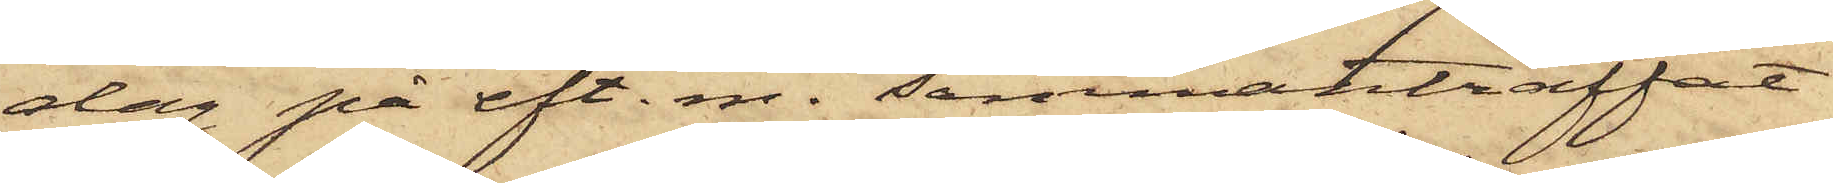dag på eft. m. sammanträffat
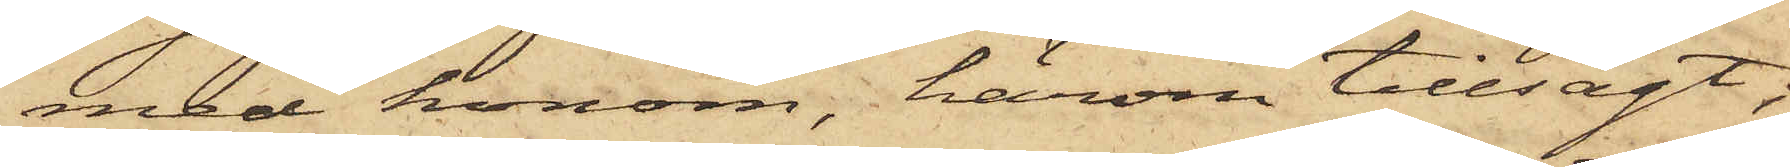med honom, härom tillsagt;
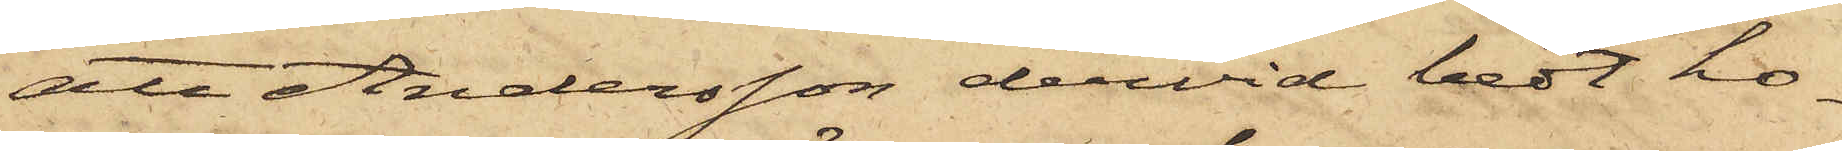att Andersson dervid bedt ho¬
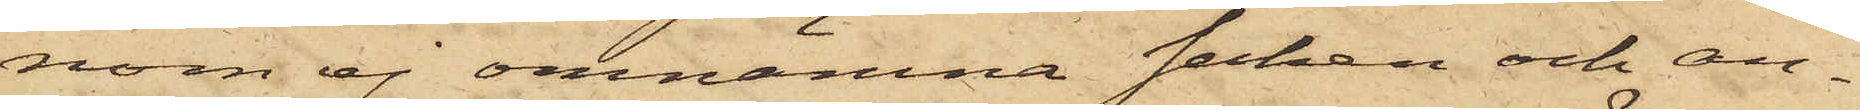nom ej omnämna saken och an¬
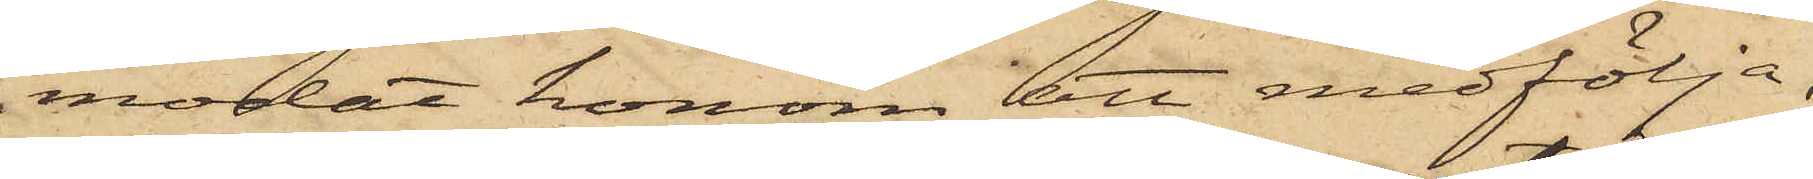modat honom att medfölja,
